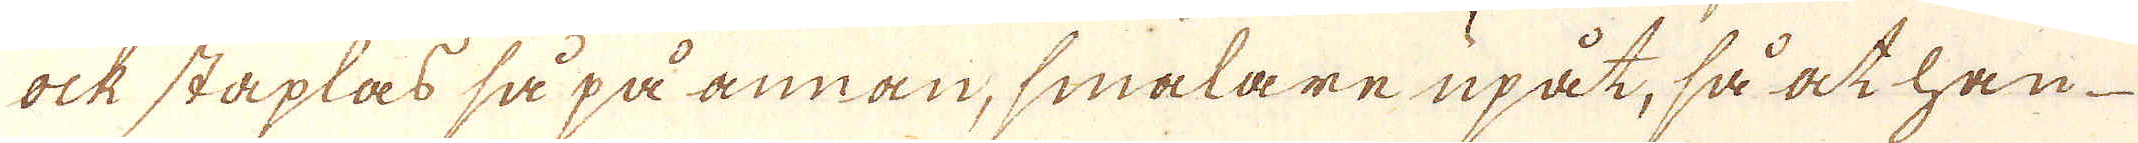ock staplas så på annan, smalare upåt, så at han
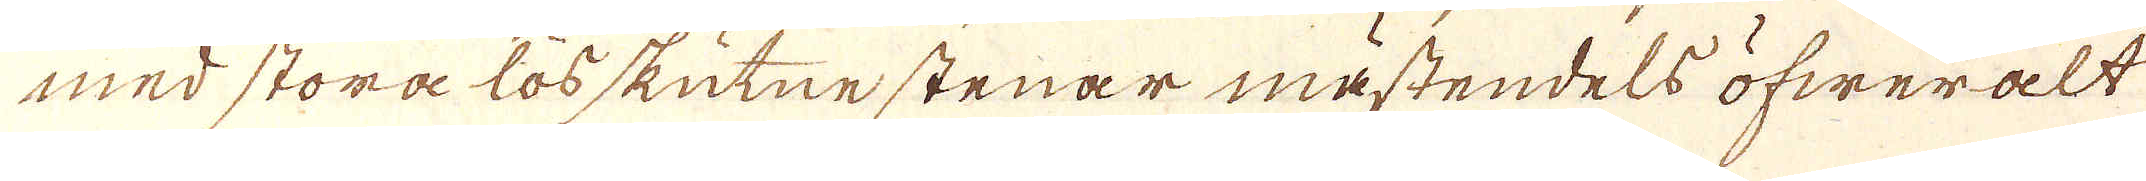med stora lösskutne stenar mästendels öfwer alt
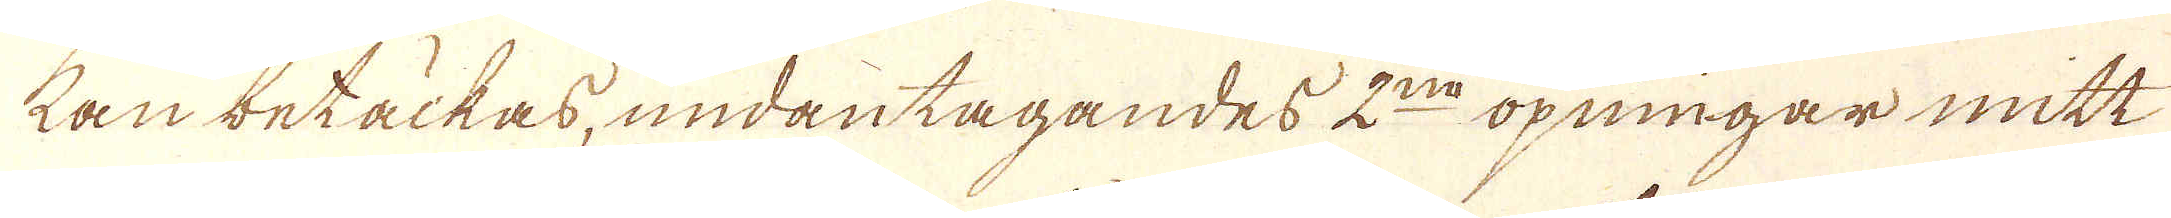kan betäckas, undantagandes 2:ne öpningar mitt
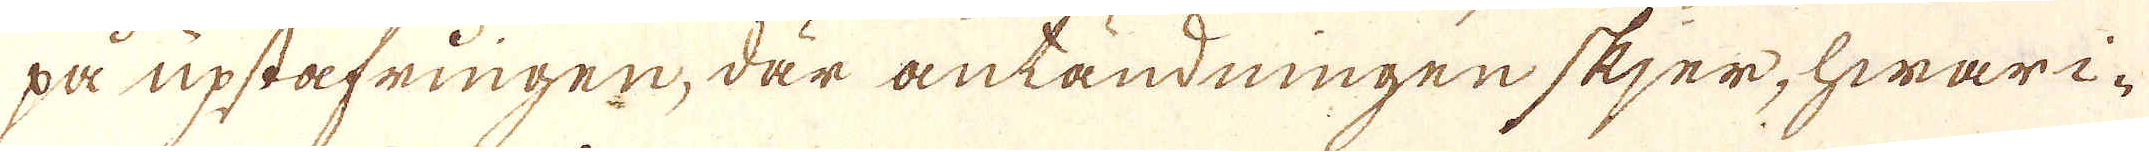på upståfringen, där antändningen skjer, hwari-
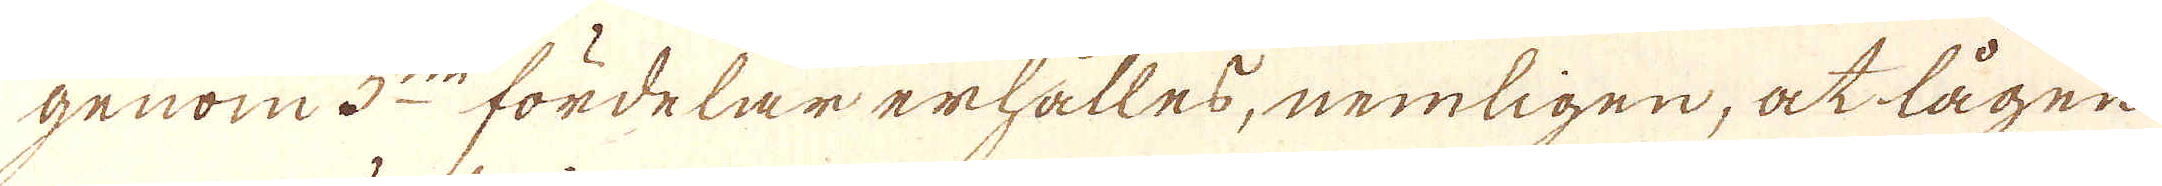genom 3:ne fördelar erhålles, nemligen, at lågen
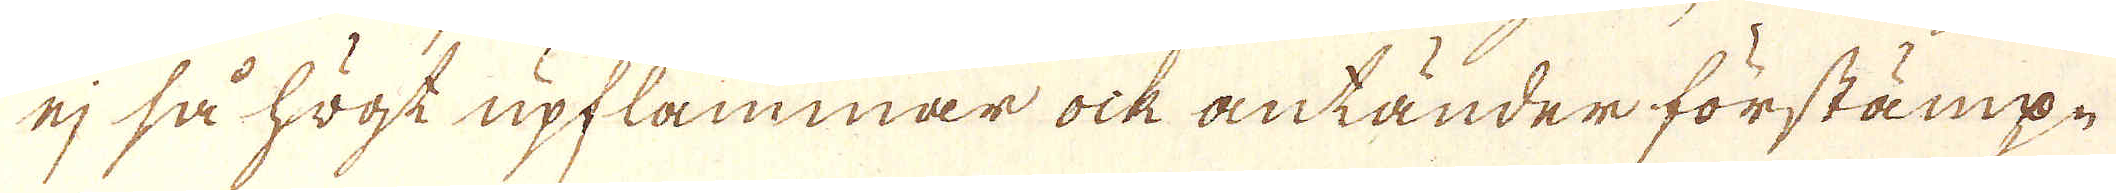ej så högt upflammar ock antänder förstämp-
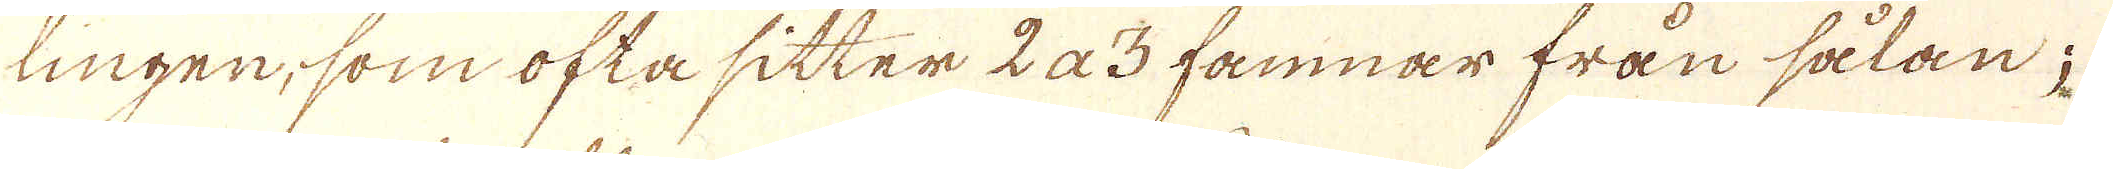lingen, som ofta sitter 2 a 3 famnar från sålan;
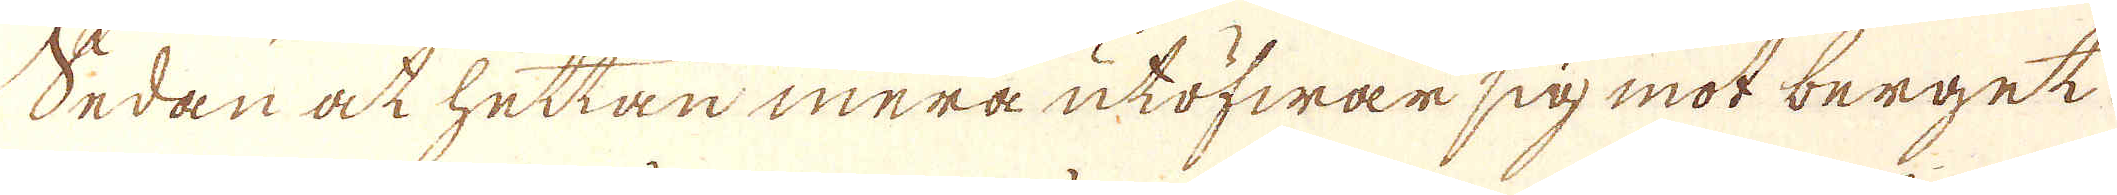Sedan ock hettan mera utöfwar sig mot berget
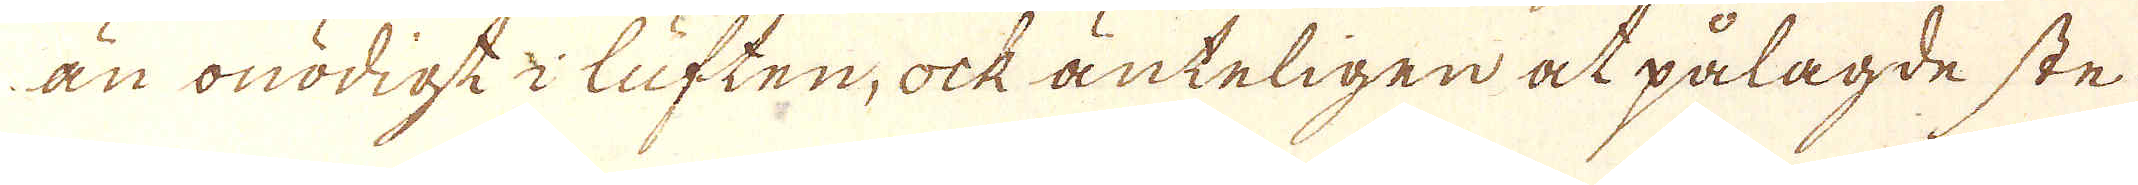än onödigt i luften, ock änteligen at pålagde ste-
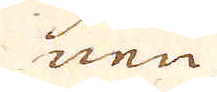nen
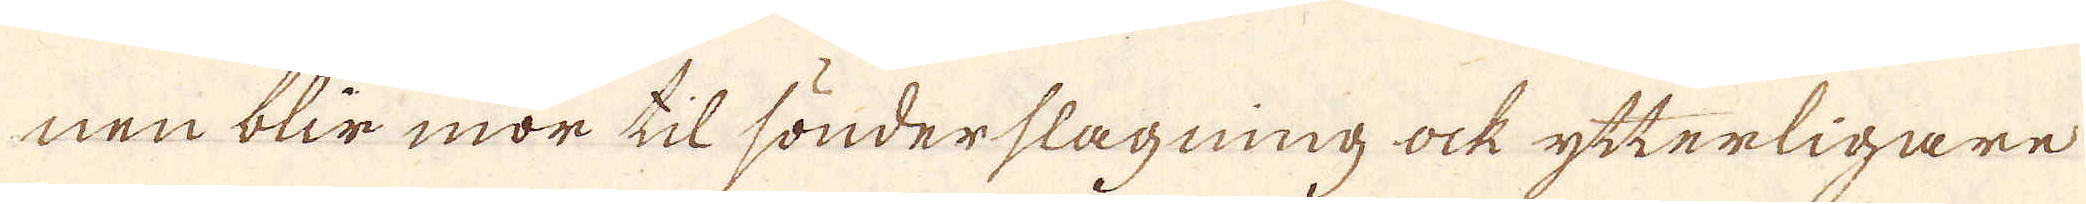nen blir mor til sönderslagning ock ytterligare
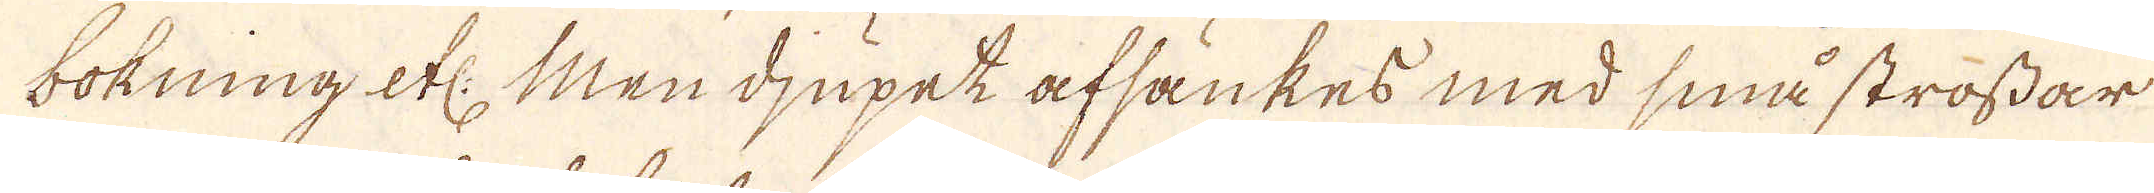bokning etc: Men djupet afsankes med små strossar
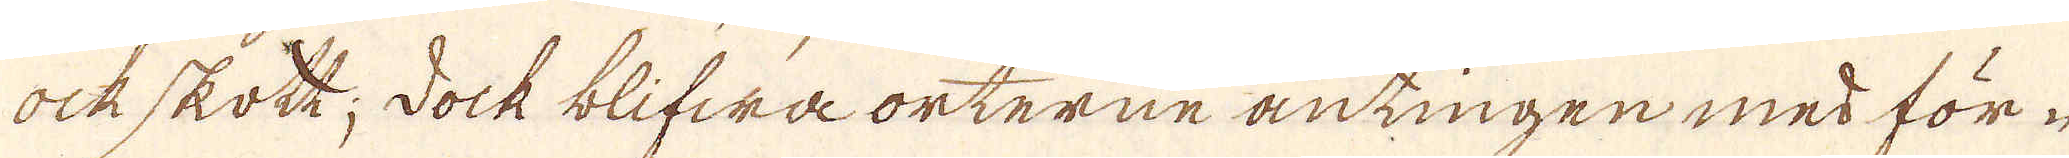ock skott; dock blifwa orterne antingen med för-
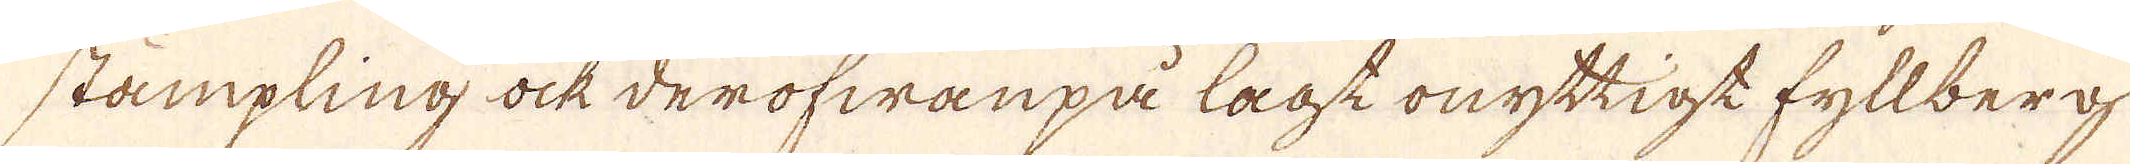stämpling ock derofwanpå lagt onyttigt fyllberg
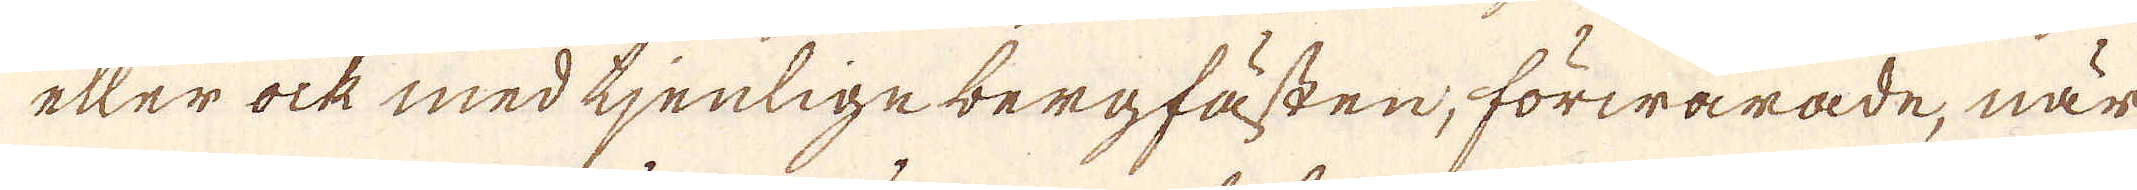eller ock med tjenlige bergfästen, förwarade, när
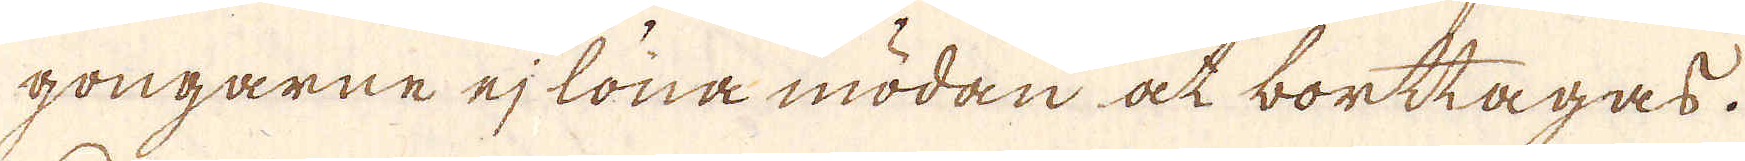gongarne ej löna mödan at borttagas.
